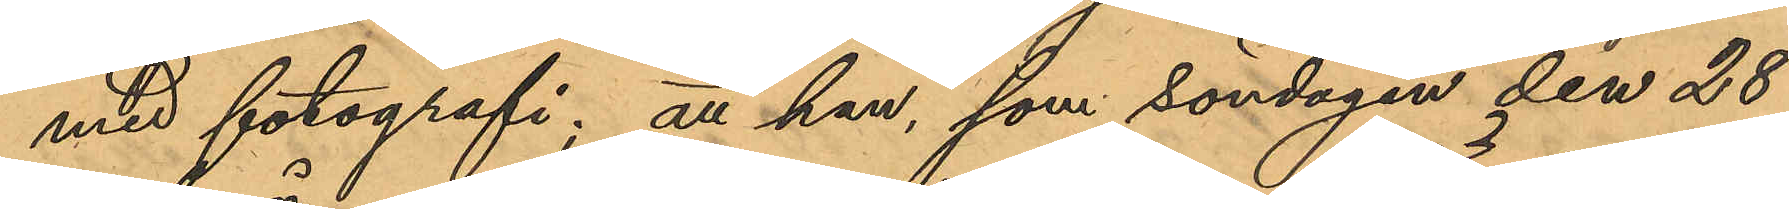med fotografi; att han, som söndagen den 28
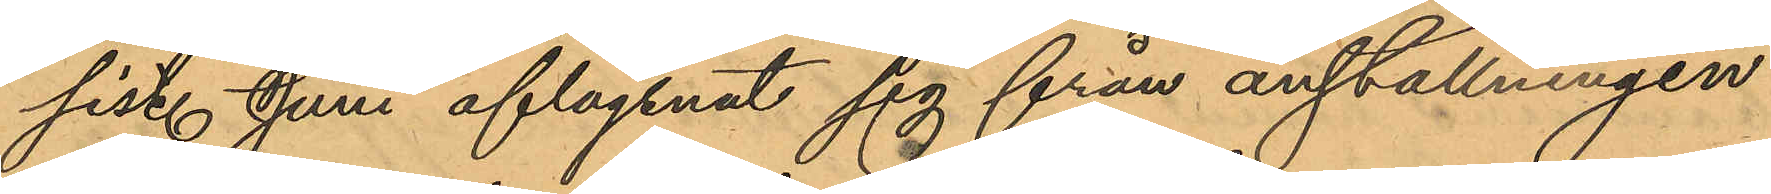sist. Juni aflägsnat sig från anställningen
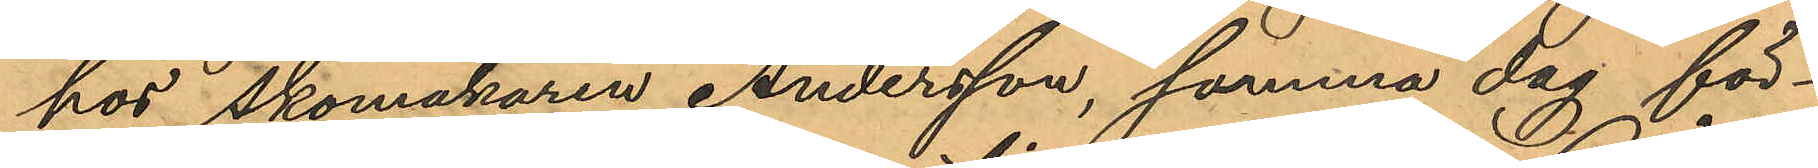hos Skomakaren Andersson, samma dag för¬
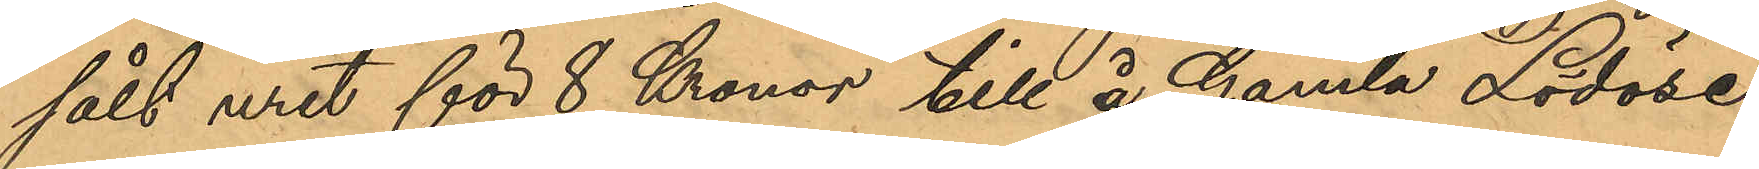sålt uret för 8 Kronor till å Gamla Lödöse
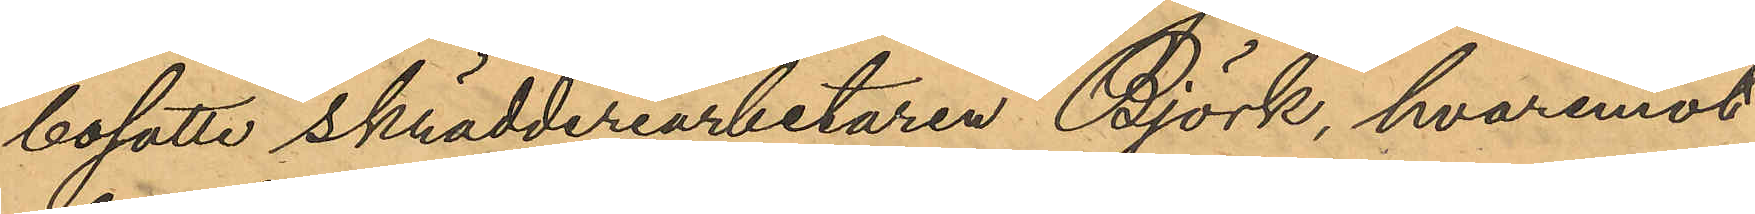bosatte skrädderiarbetaren Björk, hvaremot
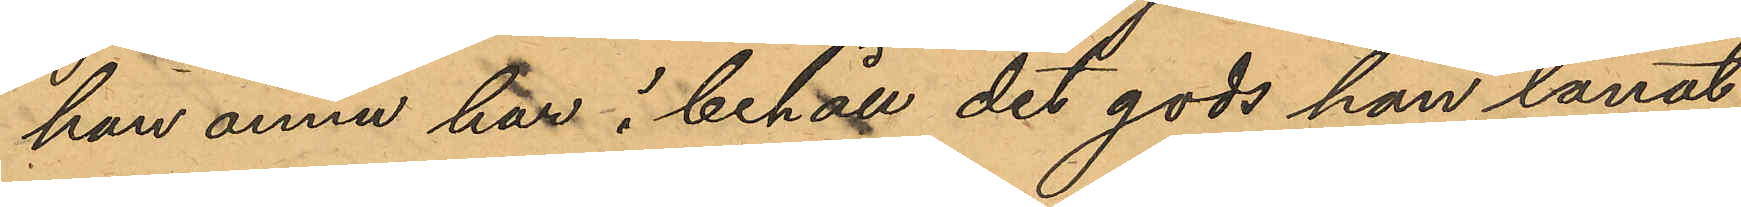han ännu har i behåll det gods han lånat
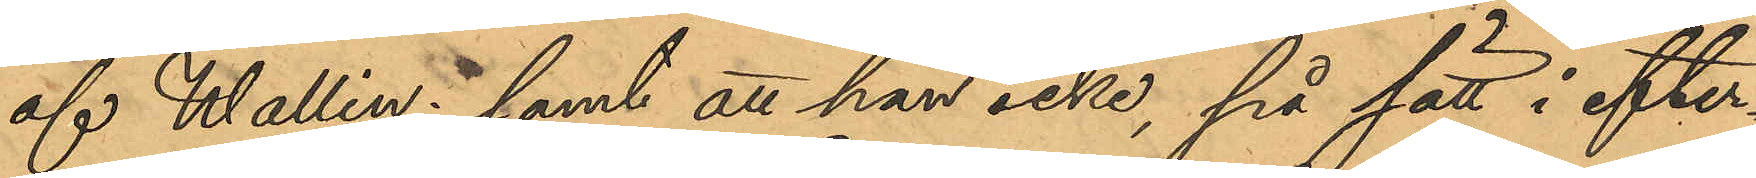af Wallin; samt att han icke, på sätt i efter¬
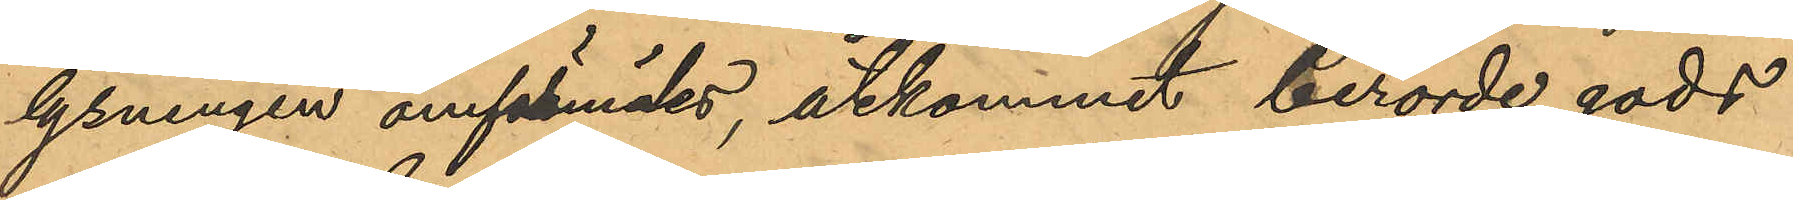lysningen omförmäldes, åtkommit berörde gods
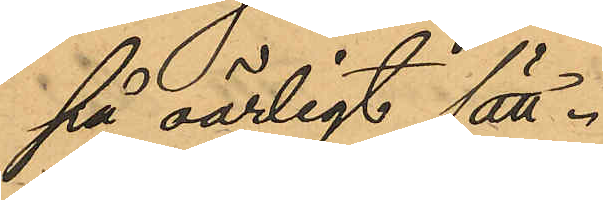på oärligt sätt
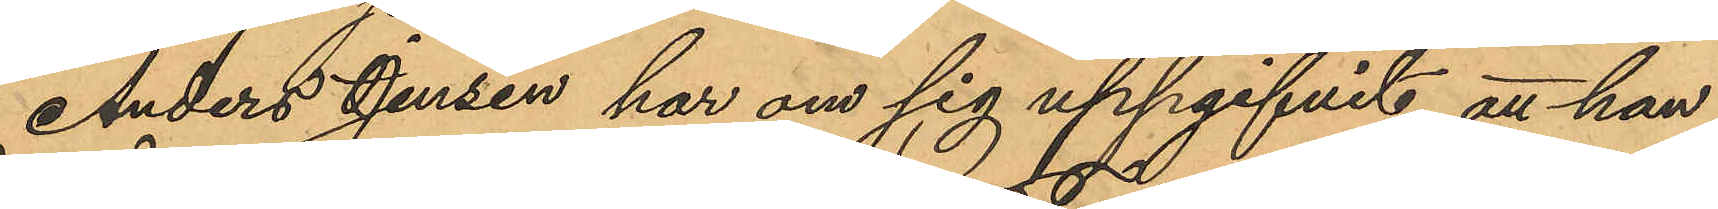Anders Jensen har om sig uppgifvit att han
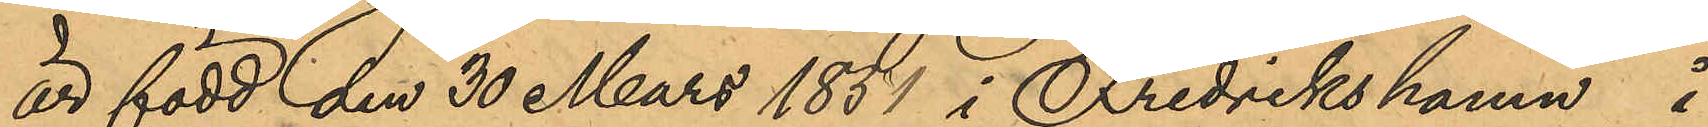är född den 30 Mars 1851 i Fredrikshamn å
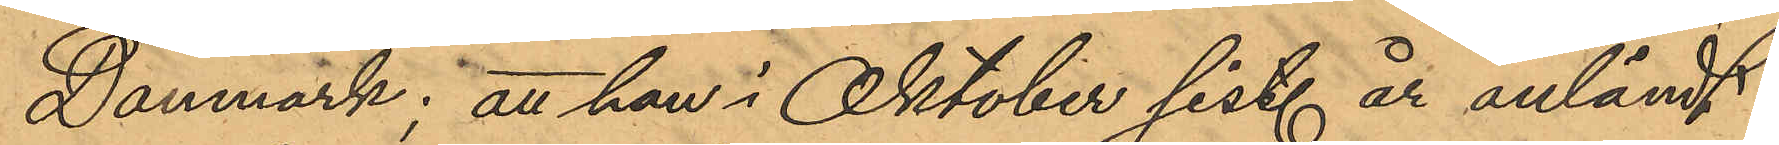Danmark; att han i Oktober sist. år anländt
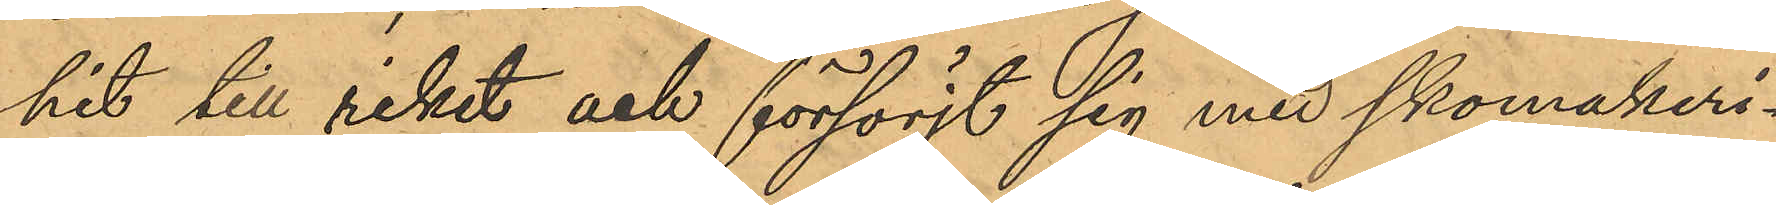hit till riket och försörjt sig med skomakeri¬
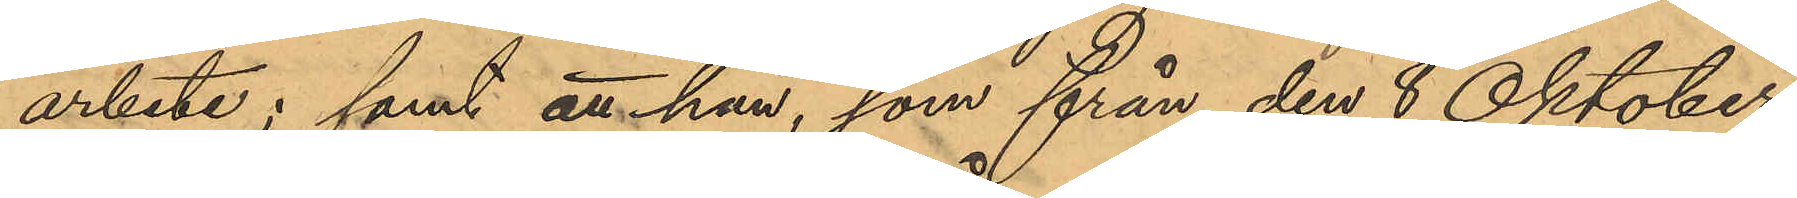arbete; samt att han, som från den 8 Oktober
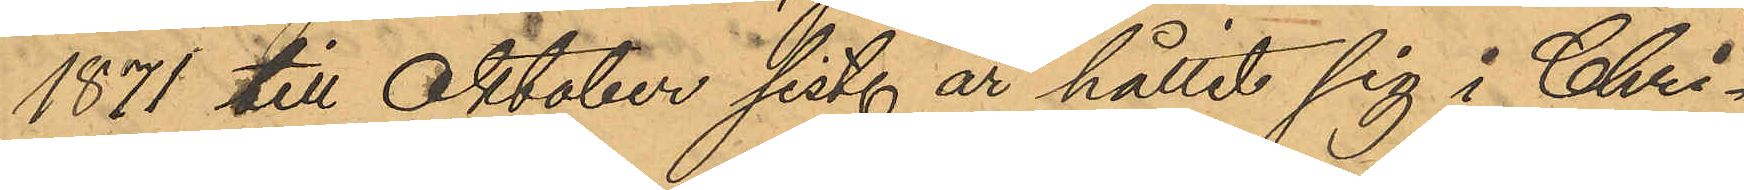1871 till Oktober sist. år hållit sig i Chri¬
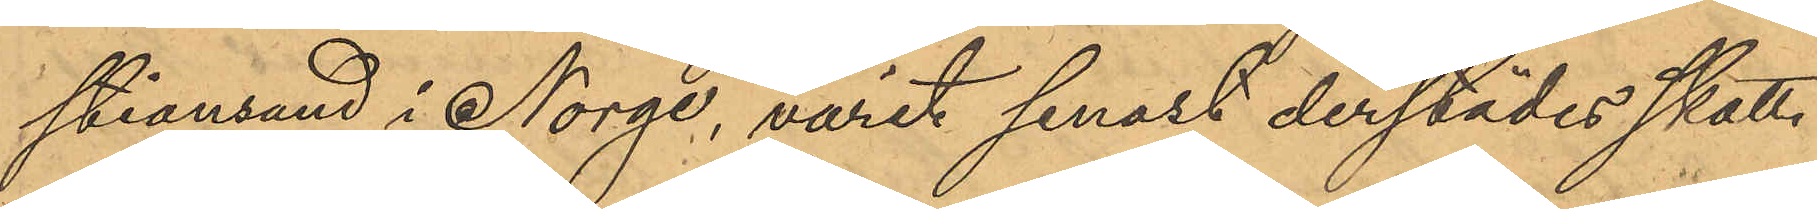stiansand i Norge, varit senast derstädes skatt¬
